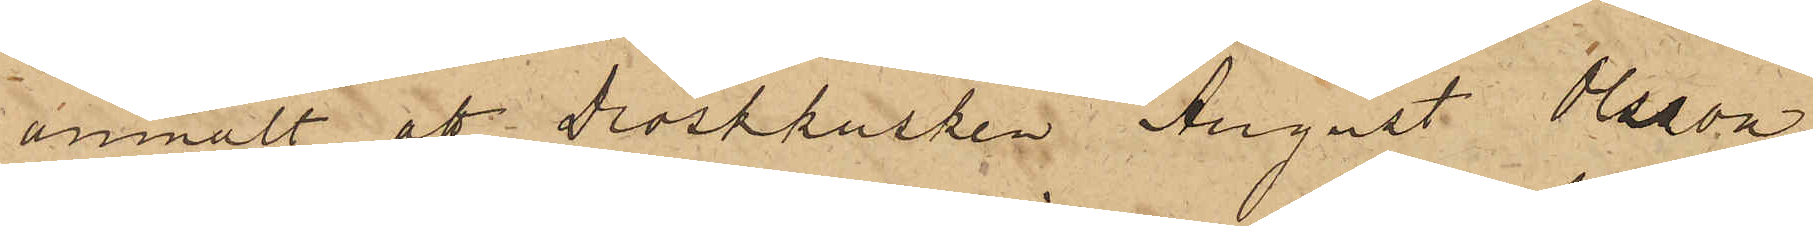anmält, att droskkusken August Olsson,
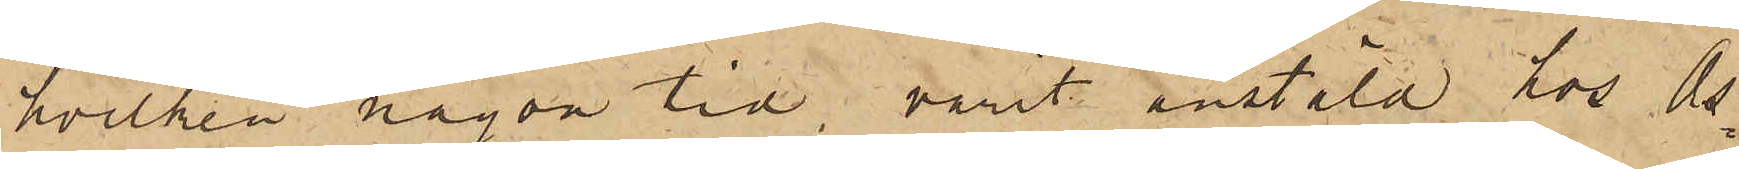hvilken någon tid varit anstäld hos Os¬
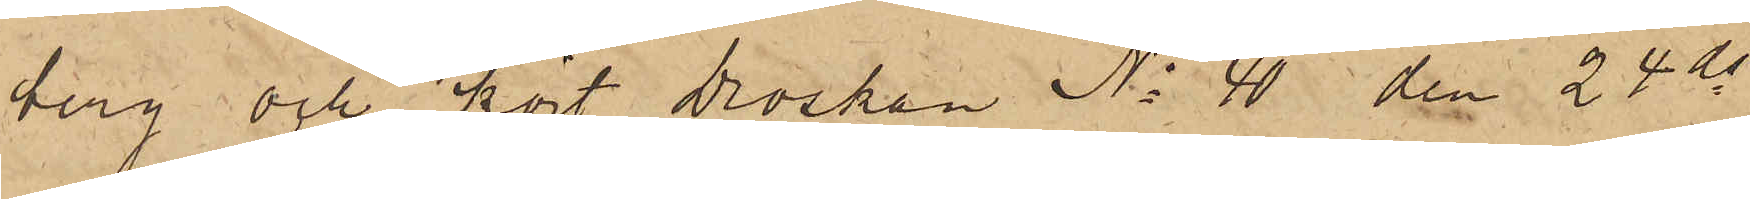berg och kört Droskan No 40 den 24 ds
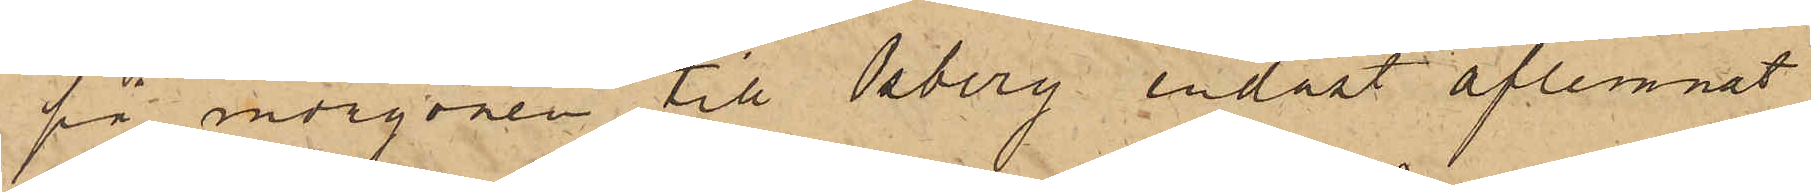på morgonen till Osberg endast aflemnat
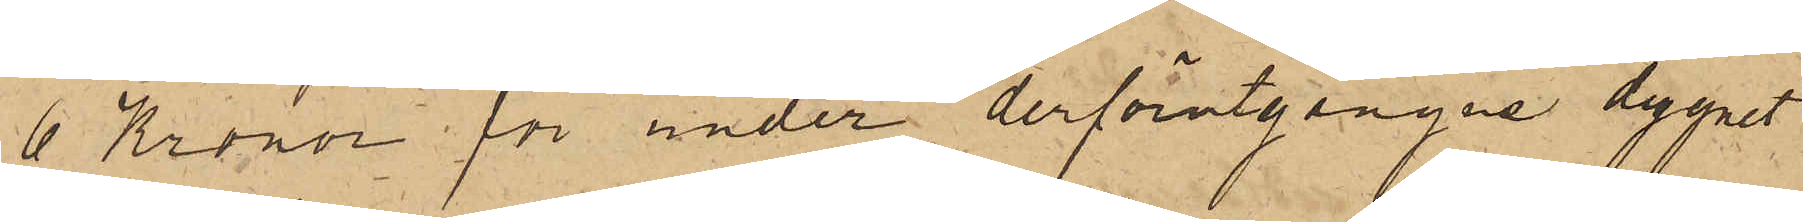6 Kronor för under derförutgångne dygnet
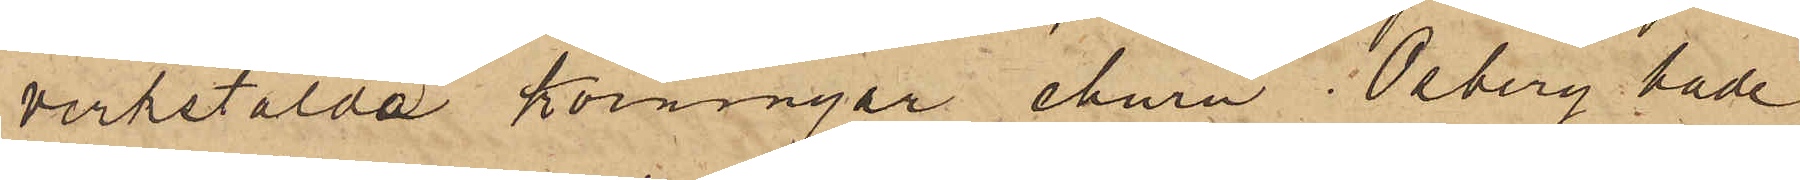verkstälda körningar ehuru Osberg hade
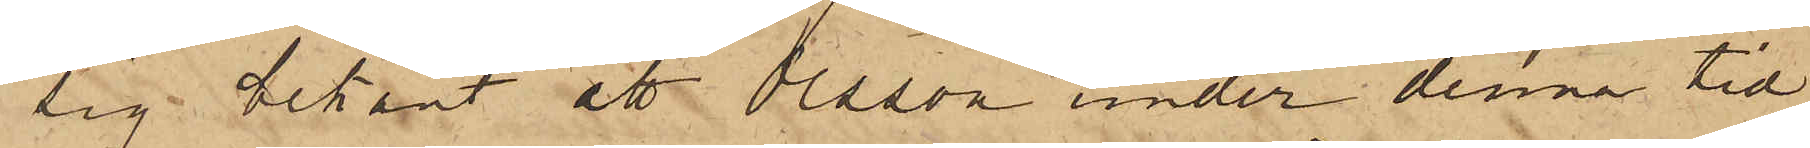sig bekant att Olsson under denna tid
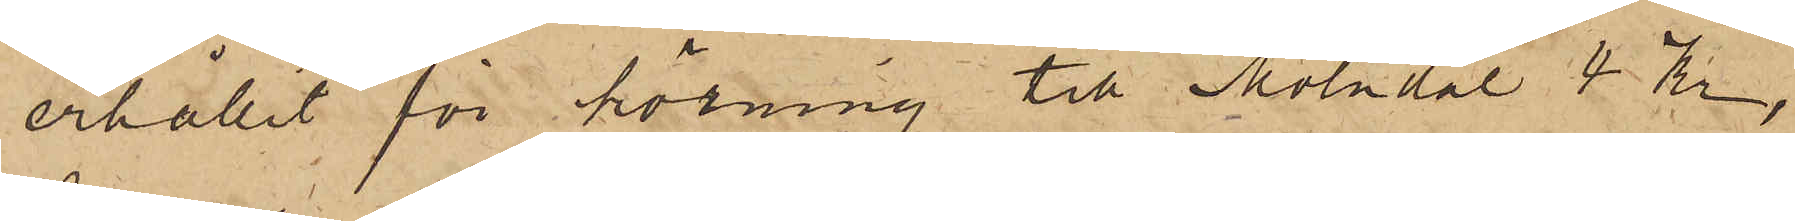erhållit för körning till Mölndal 4 Kr,
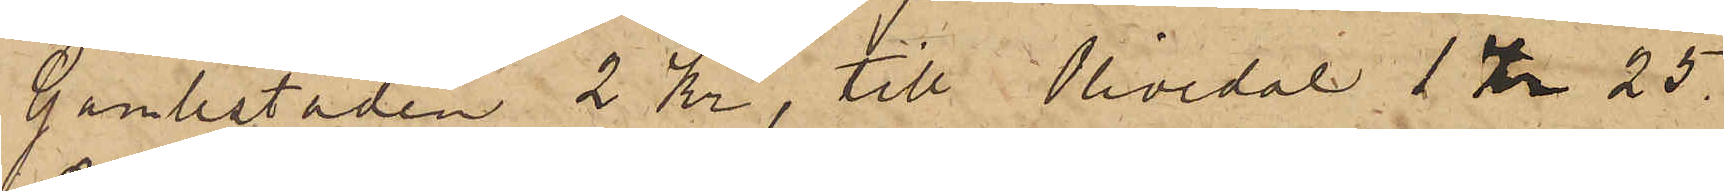Gamlestaden 2 Kr, till Olivedal 1 Kr 25.
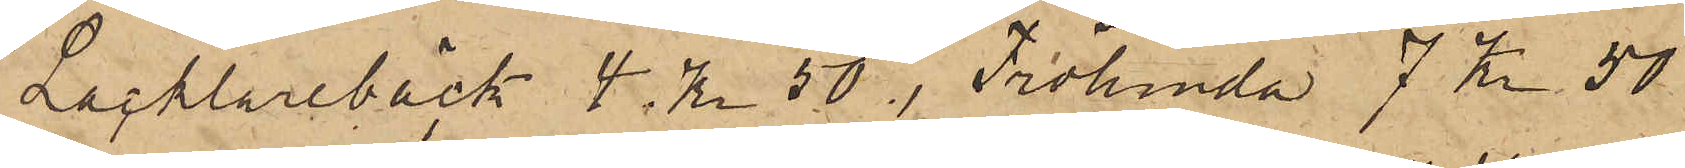Lacklarebäck 4 Kr. 50, Frölunda 7 Kr. 50
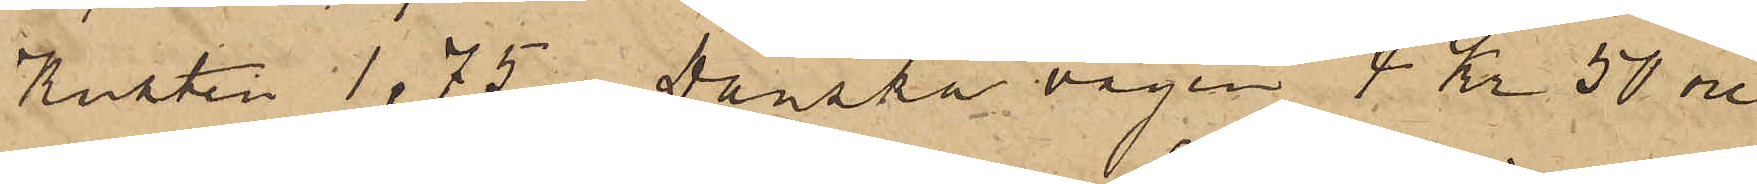Kusten 1,75, Danska vägen 4 Kr 50 öre
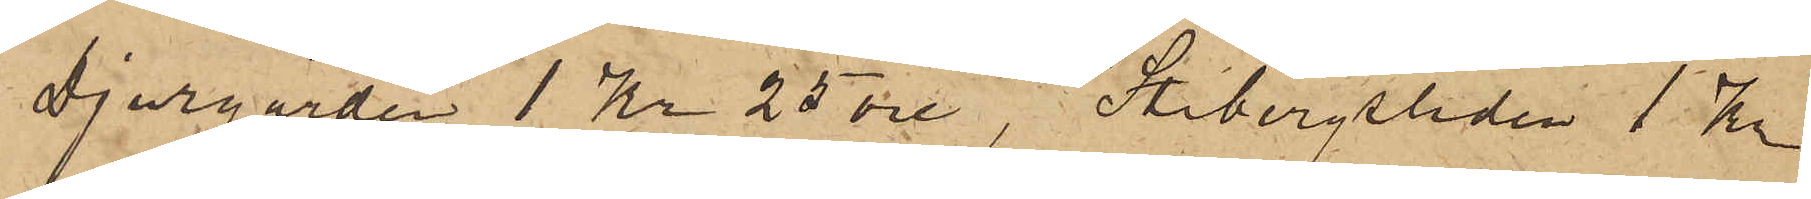Djurgården 1 Kr 25 öre, Stibergsliden 1 Kr
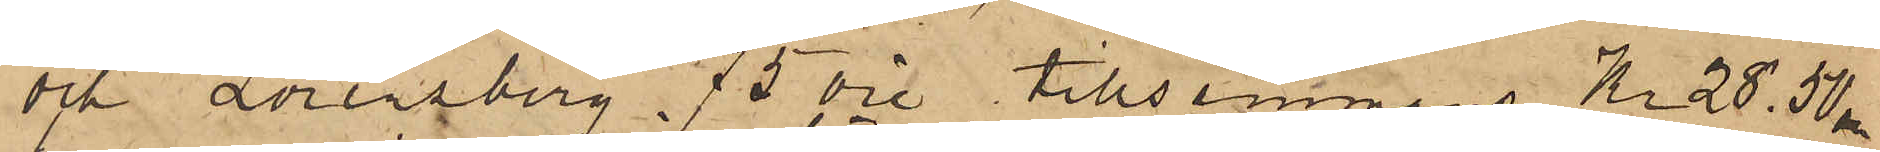och Lorensberg 75 öre tillsammans Kr 28,50.
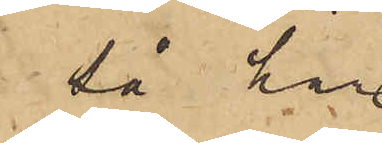så har
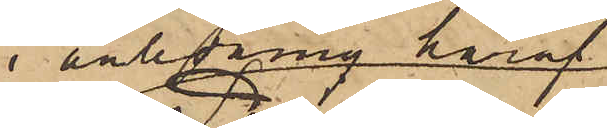i anledning häraf
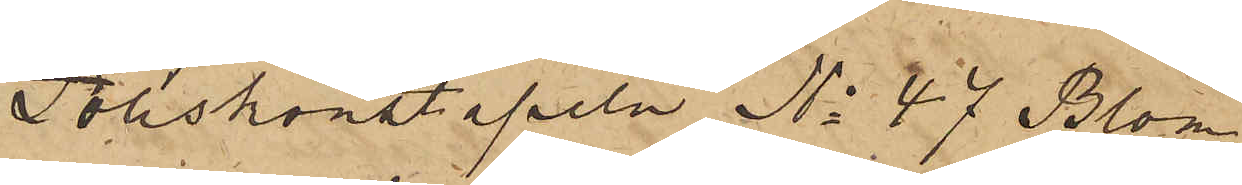Poliskonstapeln No 47 Blom¬
